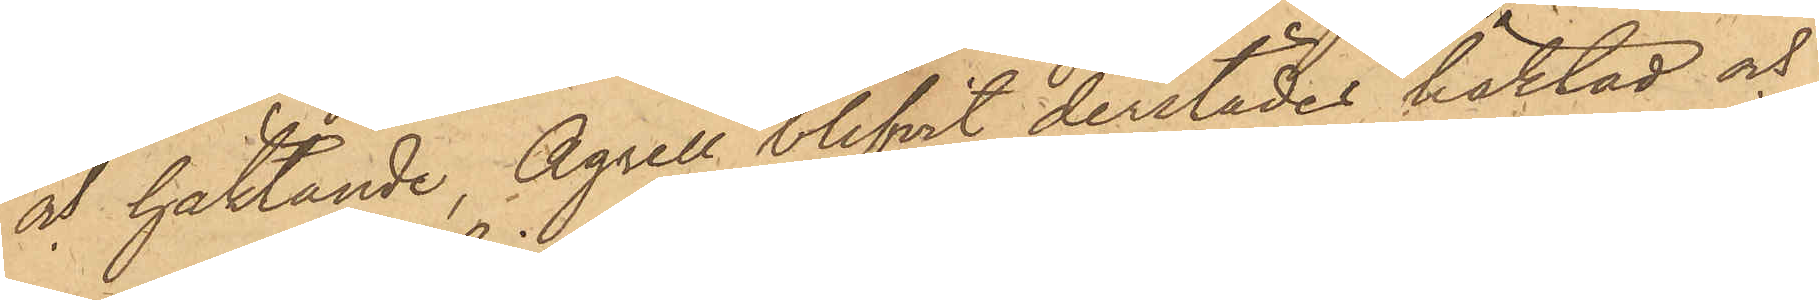och häktande, Agrell blifvit derstädes häktad och
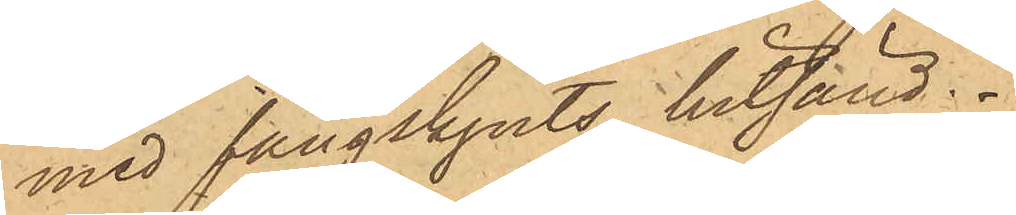med fångskjuts hitsänd.
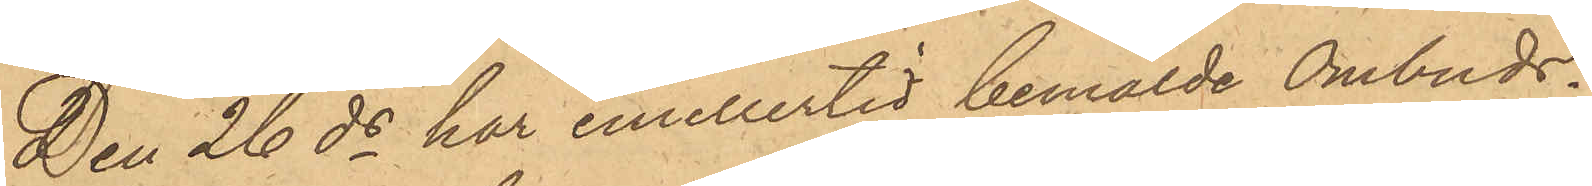Den 26 ds har emellertid bemälde Ombuds¬
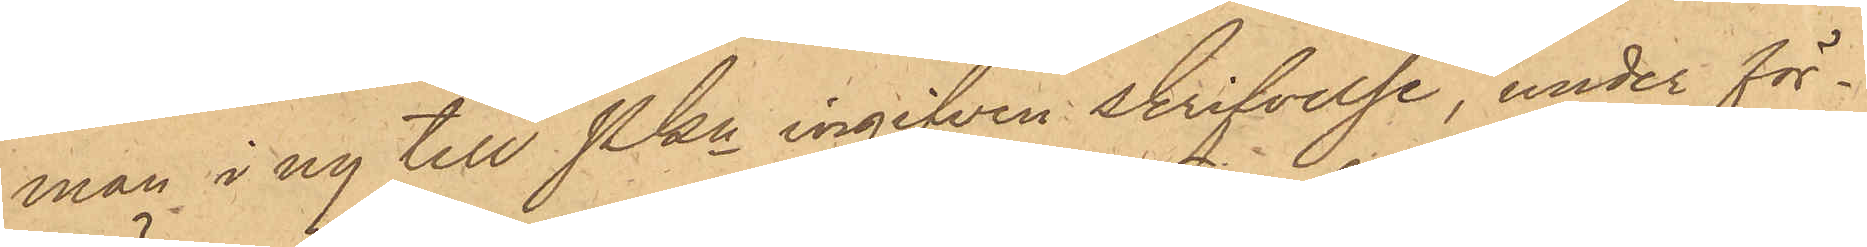man i ny till Pkn ingifven skrifvelse, under för¬
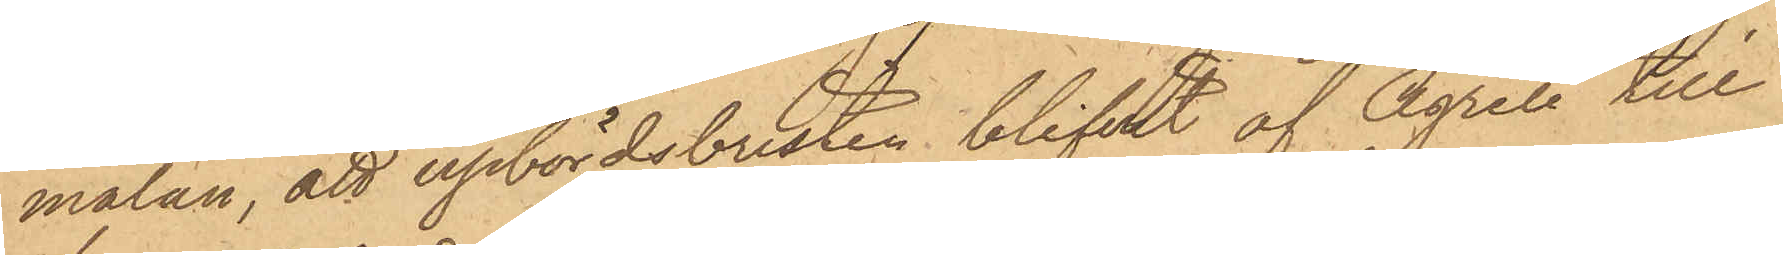mälan, att upbördsbristen blifvit af Agrell till
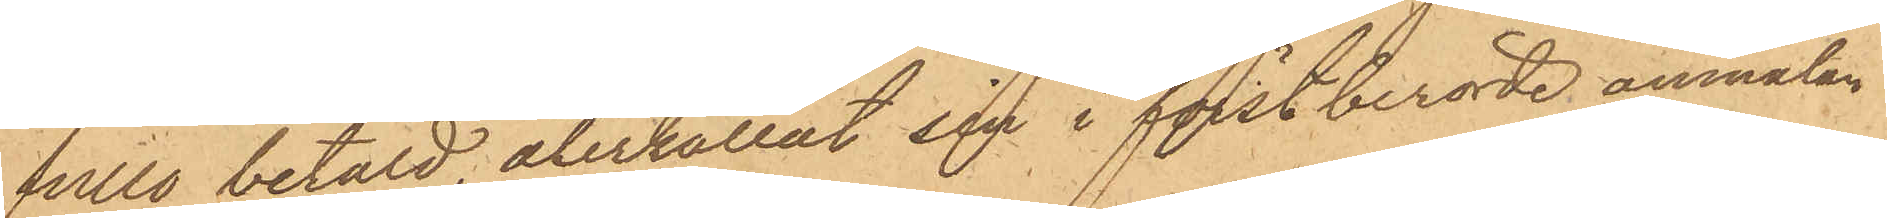fullo betald, återkallat sin i förstberörde anmälan
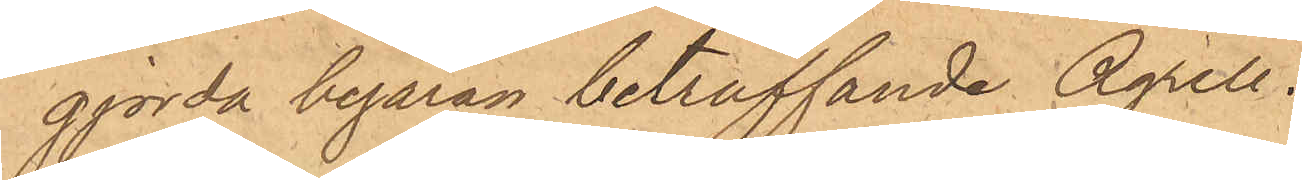gjorda begäran beträffande Agrell.
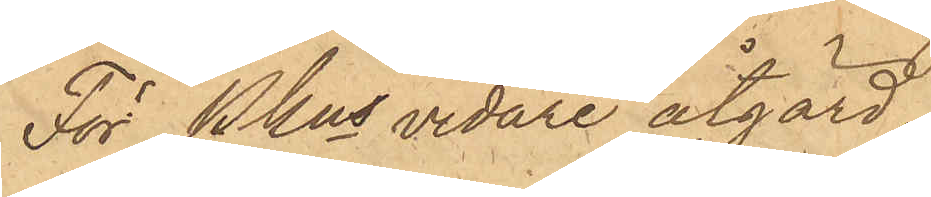För Pkns vidare åtgärd,
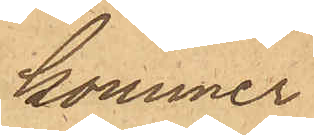kommer
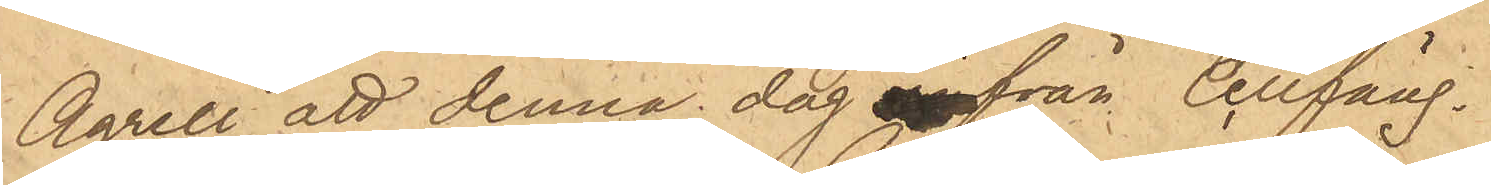Agrell att denna dag från Cellfäng.
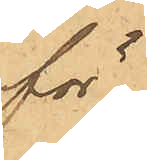för
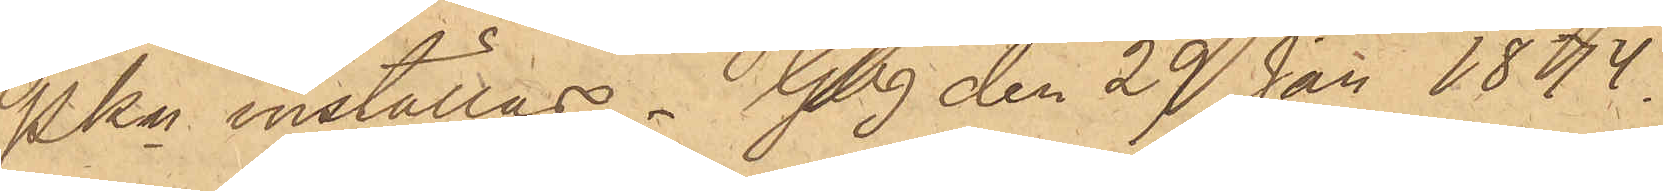Pkn inställas. Gbg den 29 Jan 1874.
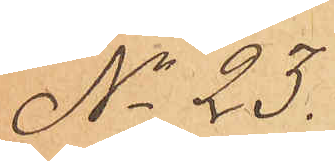No 23.
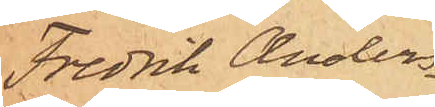Fredrik Anders¬
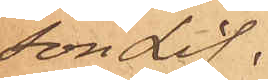son Lif.
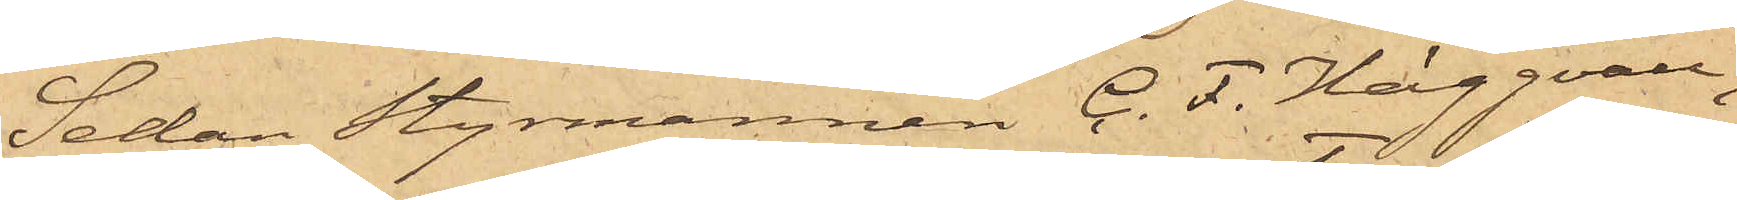Sedan Styrmannen C. F. Häggvall,
